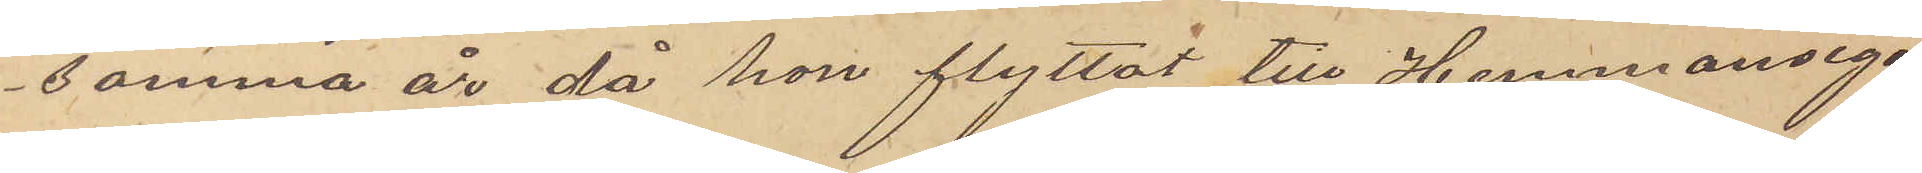samma år då hon flyttat till Hemmansega¬
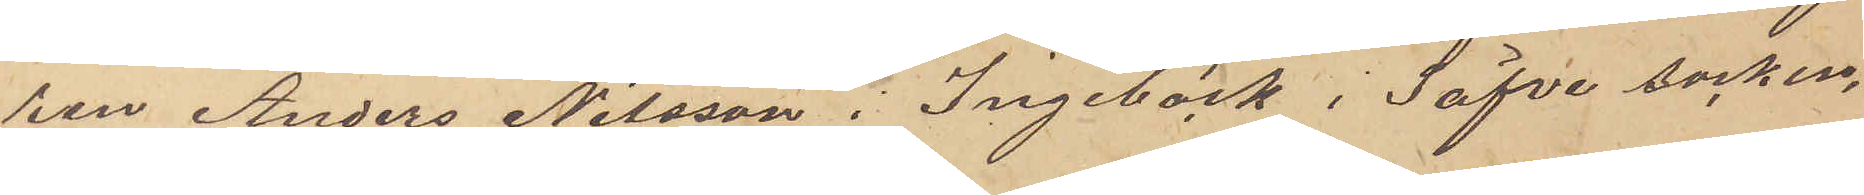ren Anders Nilsson i Ingebäck i Säfve socken,
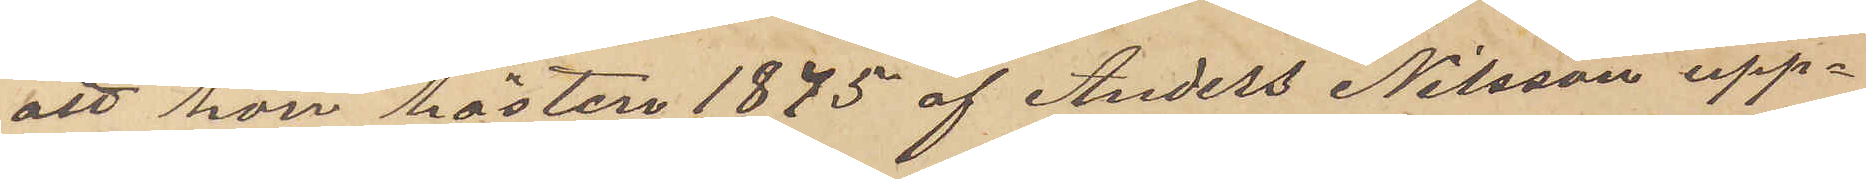att hon hösten 1875 af Anders Nilsson upp¬
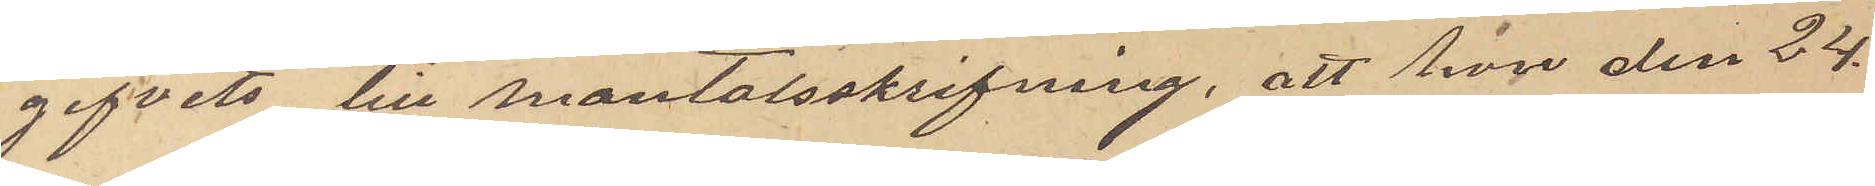gifvits till mantalsskrifning, att hon den 24
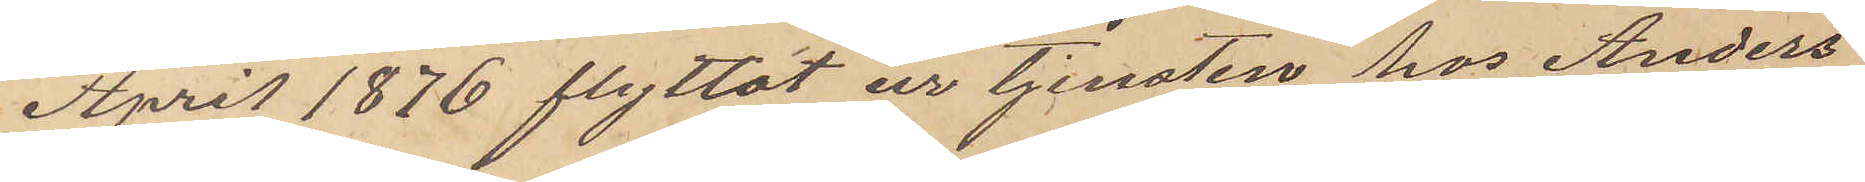April 1876 flyttat ur tjensten hos Anders
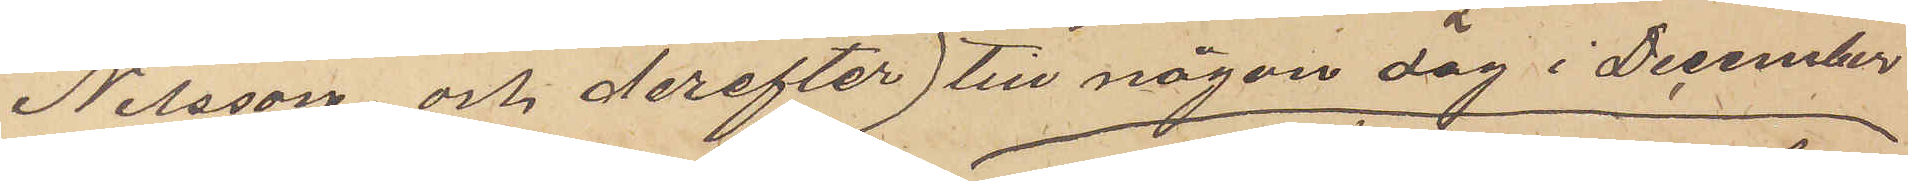Nilsson och derefter till någon dag i December
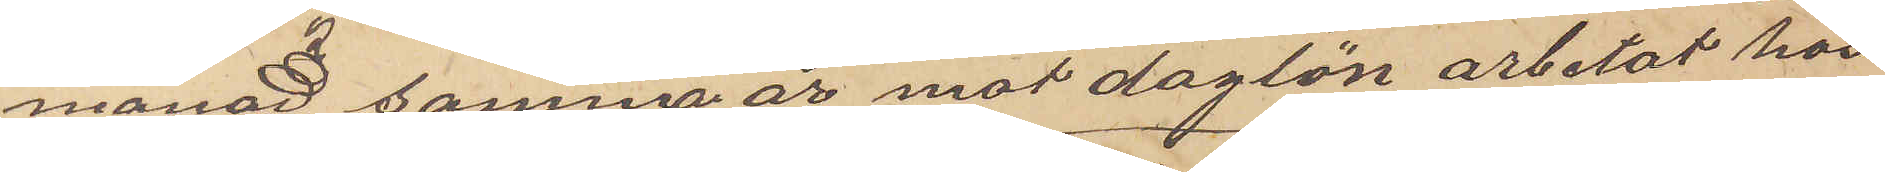månad samma år mot daglön arbetat hos
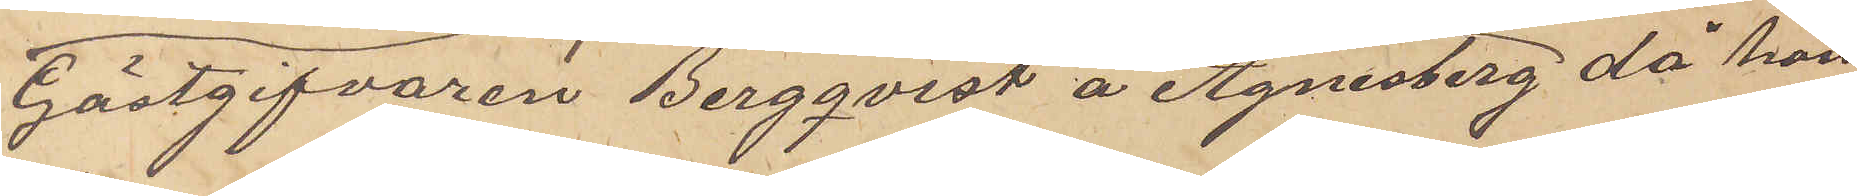Gästgifvaren Bergqvist å Agnesberg då hon
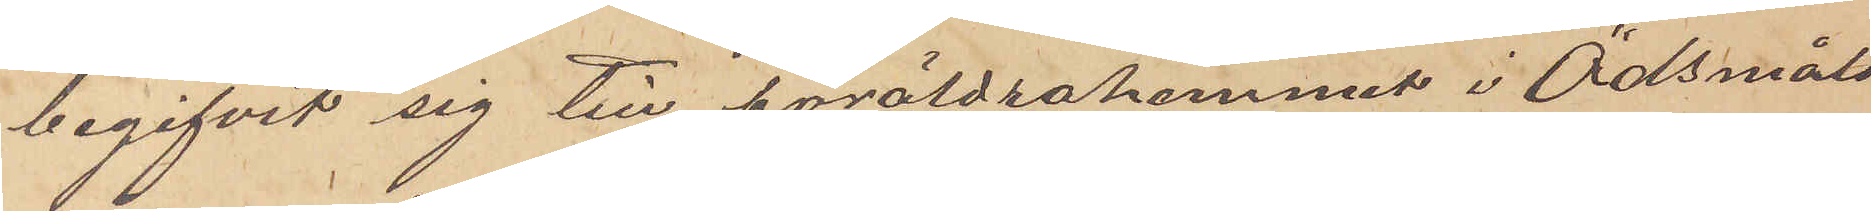begifvit sig till föräldrahemmet i Ödsmåls
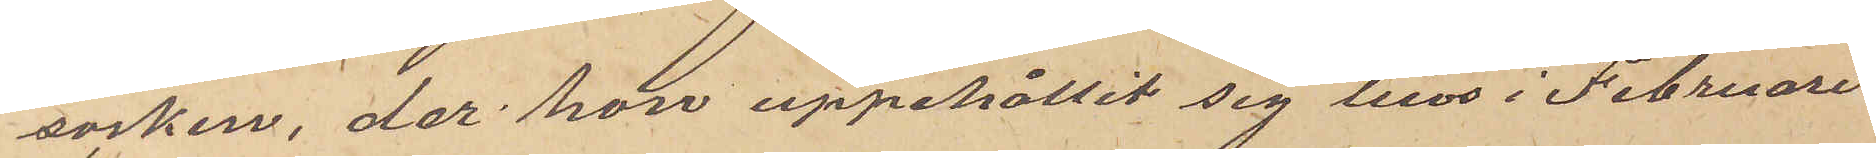socken, der hon uppehållit sig tills i Februari
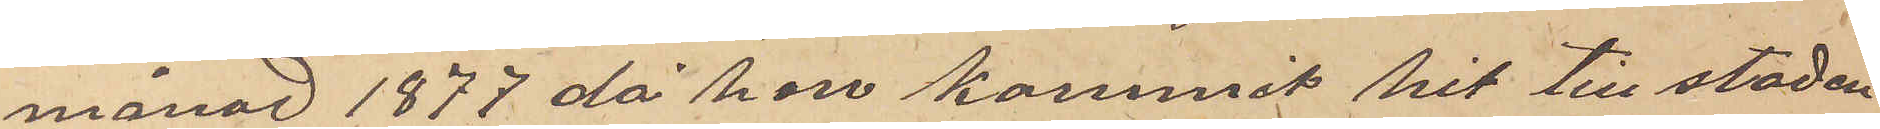månad 1877 då hon kommit hit till staden
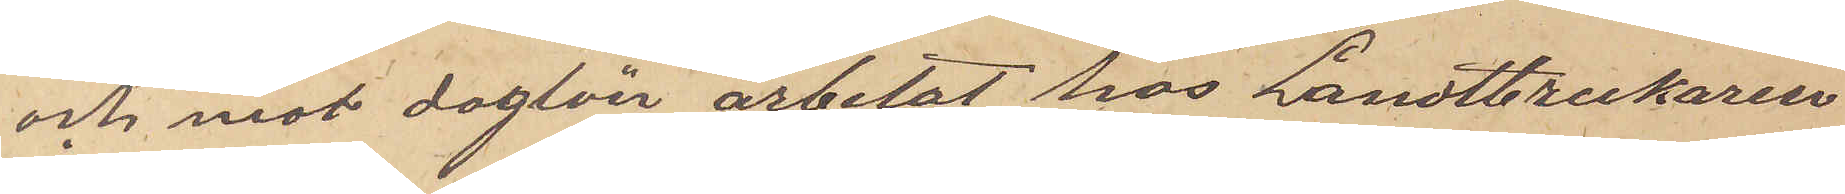och mot daglön arbetat hos Landtbrukaren
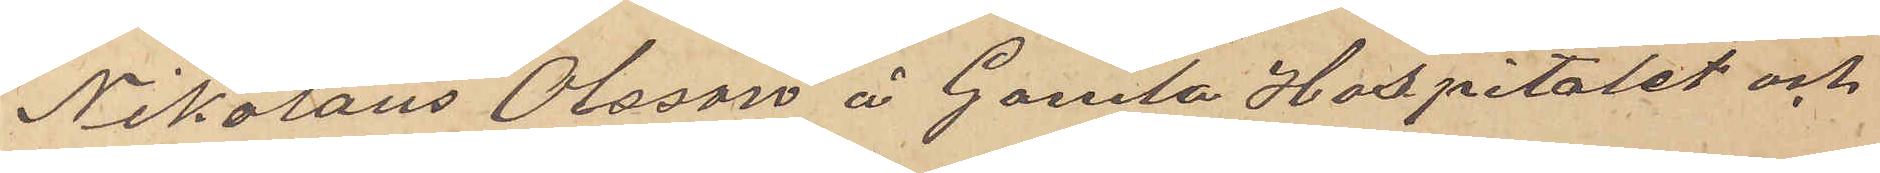Nikolaus Olsson å Gamla Hospitalet och
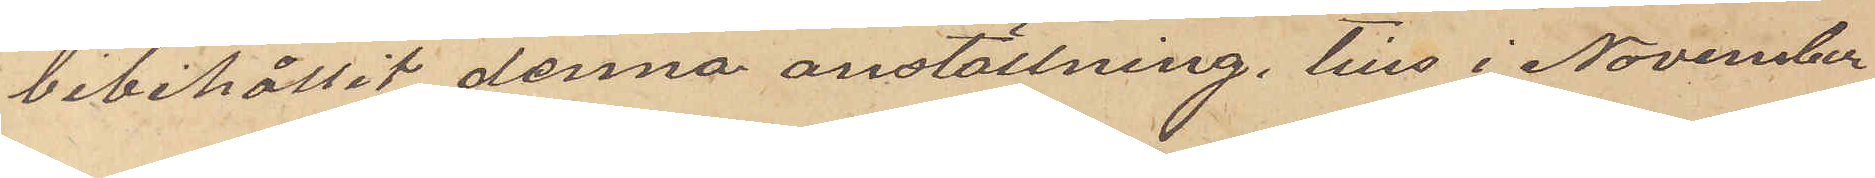bibehållit denna anställning tills i November
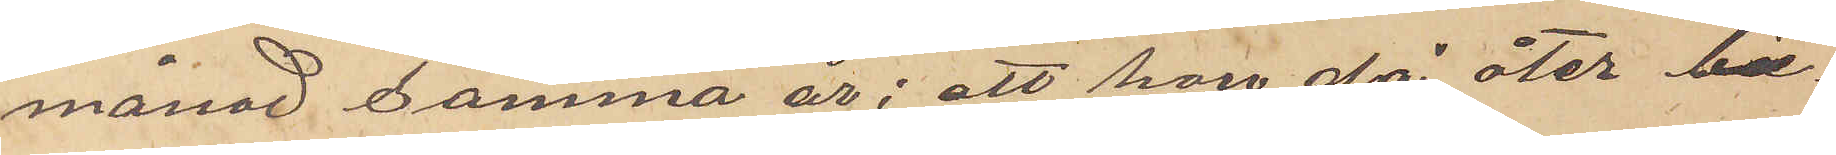månad samma år; att hon då åter be¬
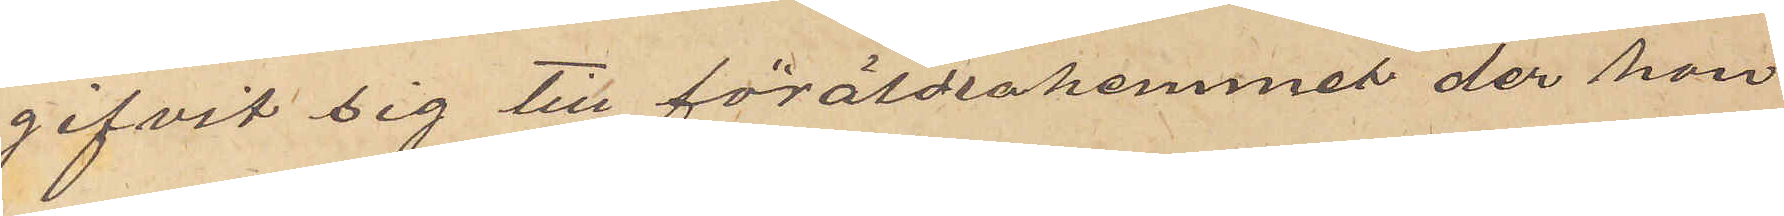gifvit sig till föräldrahemmet der hon
